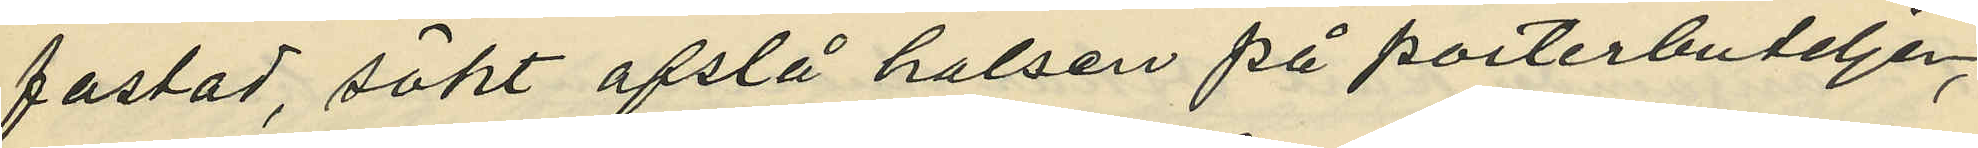fästad, sökt afslå halsen på porterbuteljer,
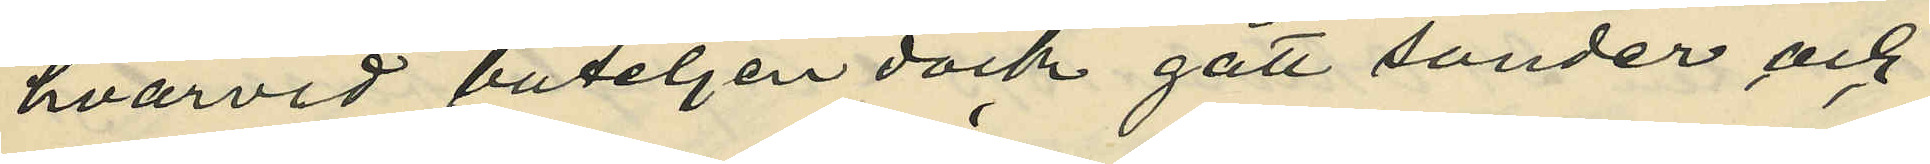hvarvid buteljen dock gått sönder och
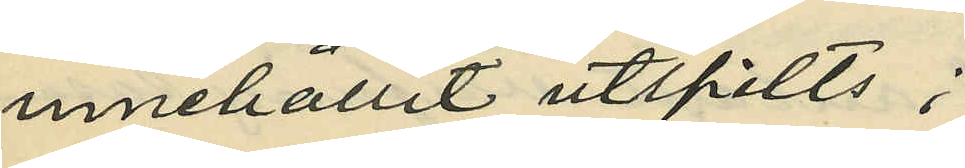innehållit utspilts;
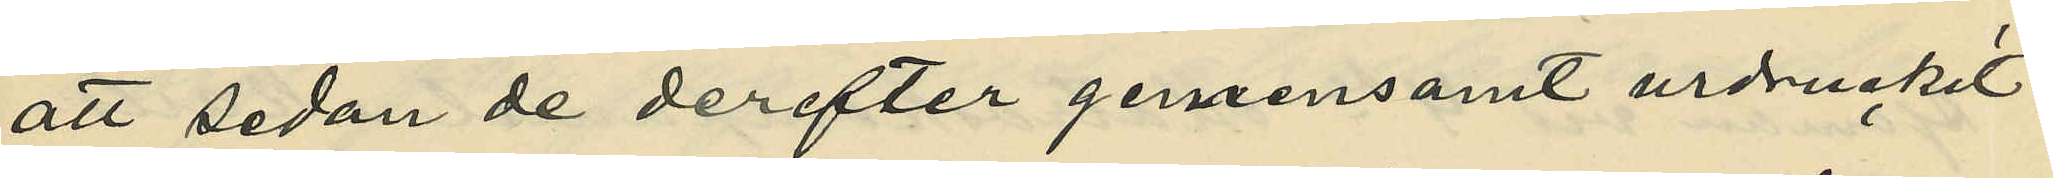att sedan de derefter gemensamt urdruckit
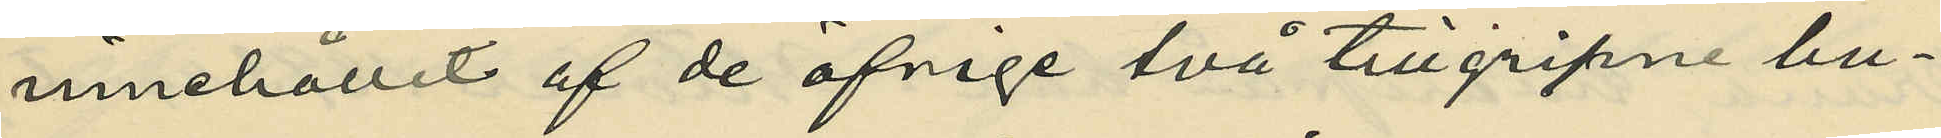innehållit af de öfriga två tillgripne bu¬
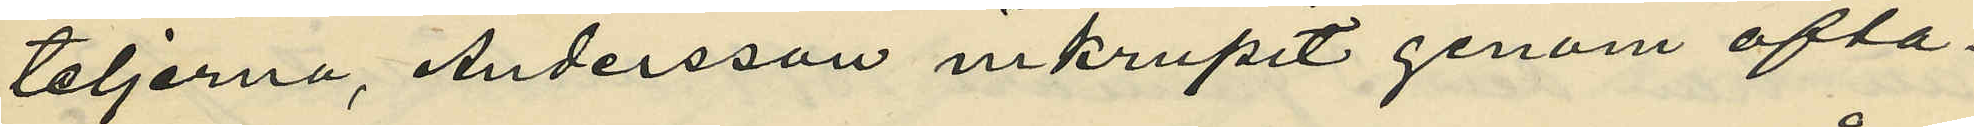teljerna, Andersson inkrupit genom ofta¬
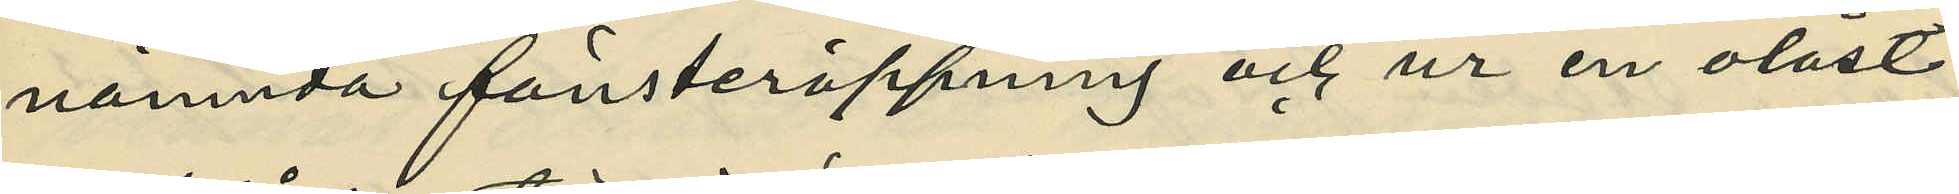nämnda fönsteröppning och ur en olåst
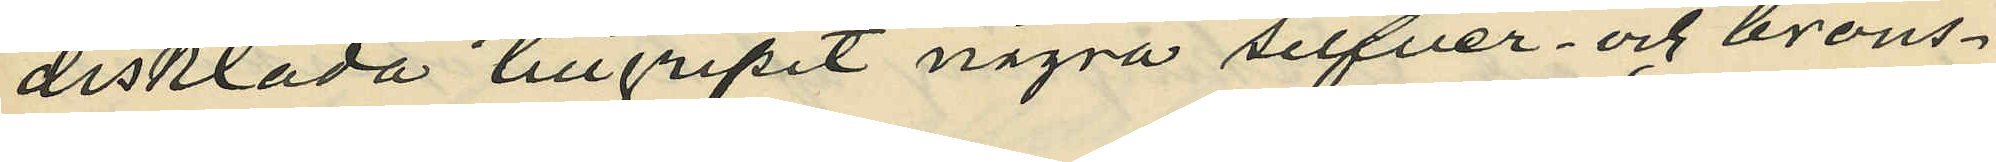disklåda tillgripit några silfver och brons¬
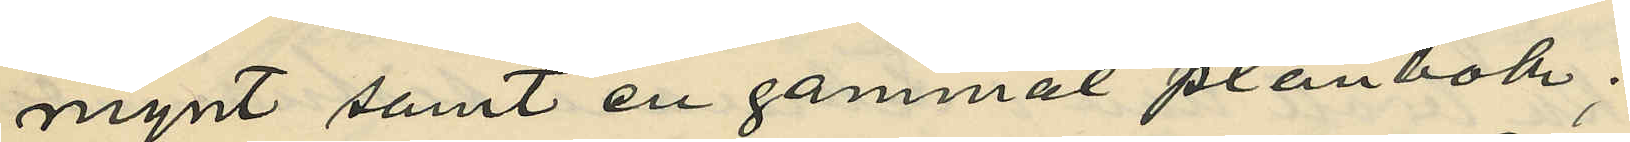mynt samt en gammal plånbok;
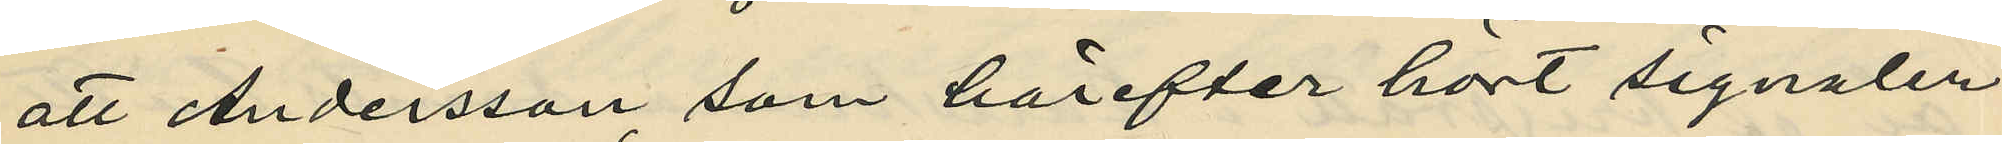att Andersson som härefter hört signaler
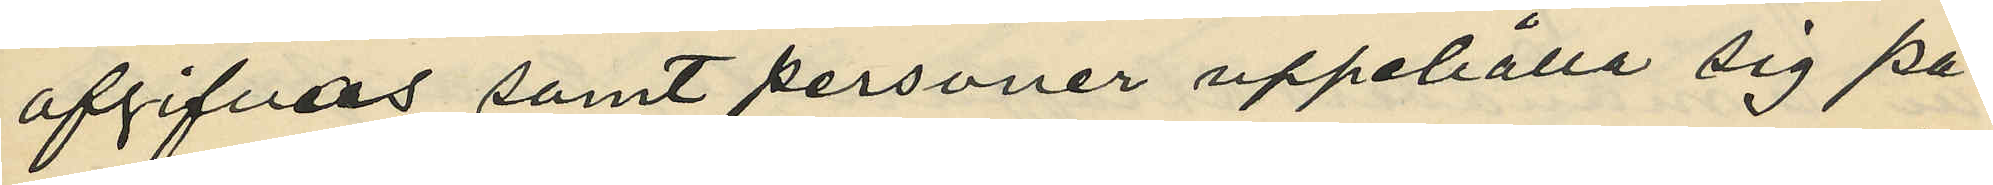afgifvas samt personer uppehålla sig på
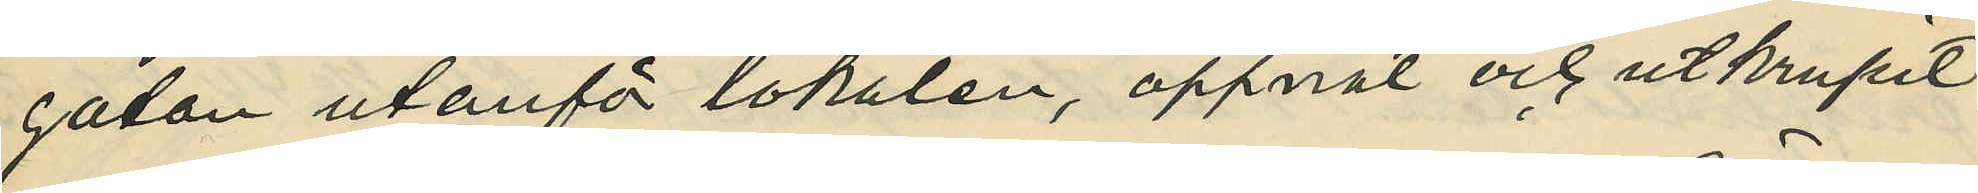gatan utanför lokalen, öppnat och utkrupit
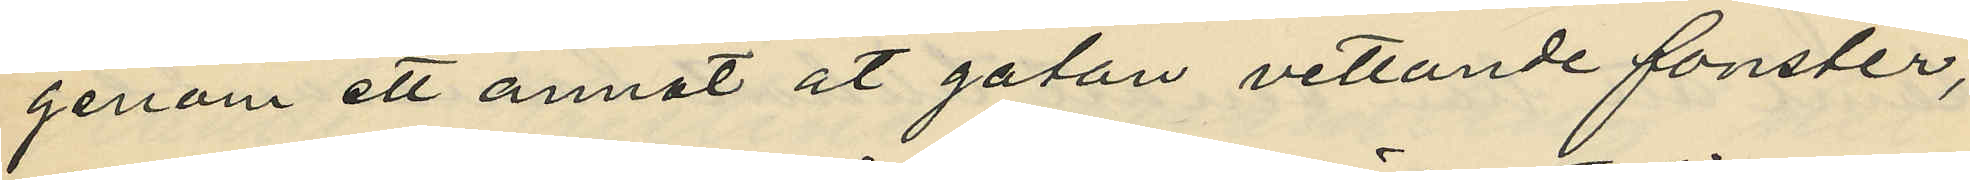genom ett annat åt gatan vettande fönster,
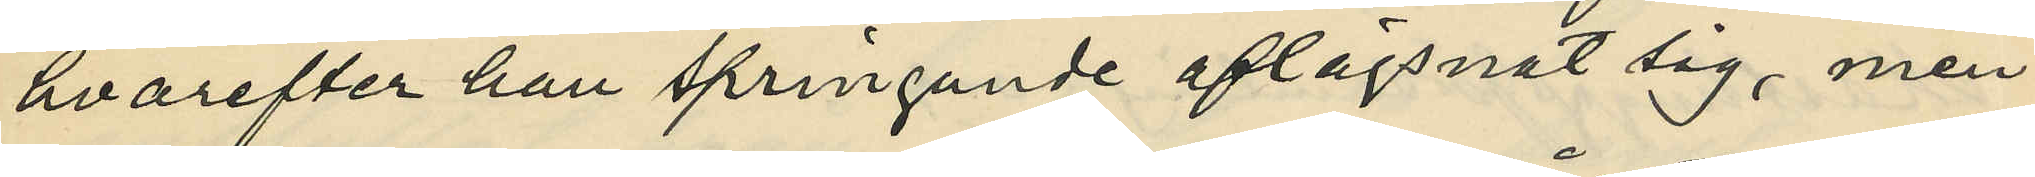hvarefter han springande aflägsnat sig, men
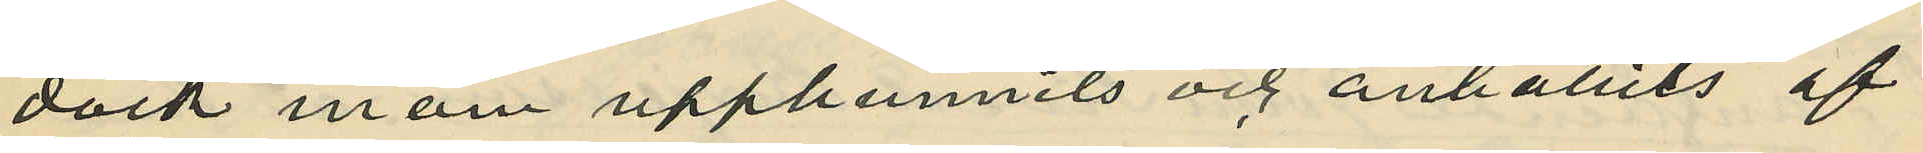dock inom upphunnits och anhållits af
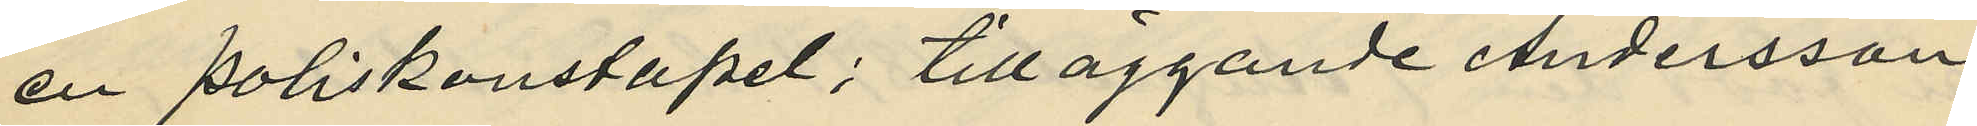en poliskonstapel; tilläggande Andersson,
